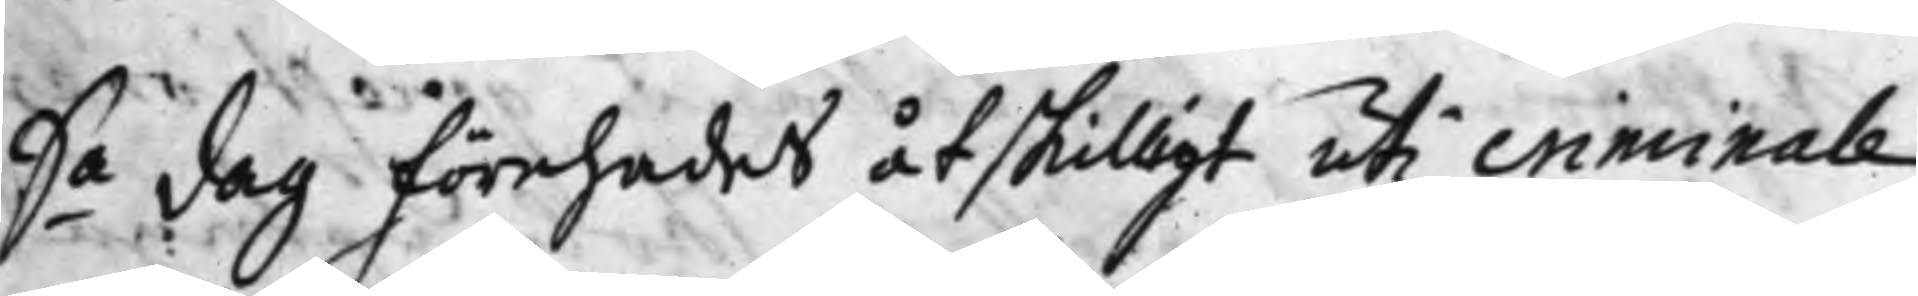S.a Dag Förehades åtskilligt uti criminale
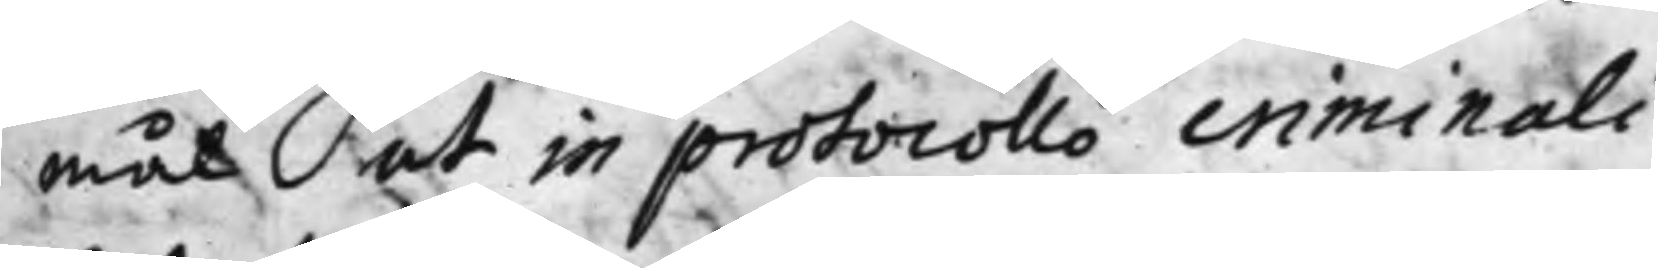mål ut in protocollo criminali.
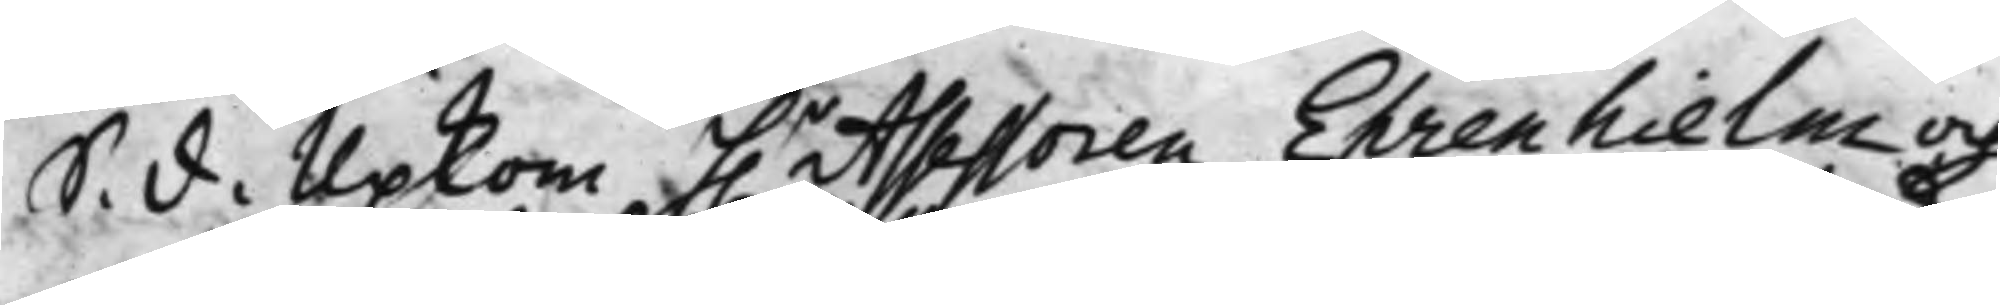S. d. Upkom h.r Assessoren Ehrenhielm och
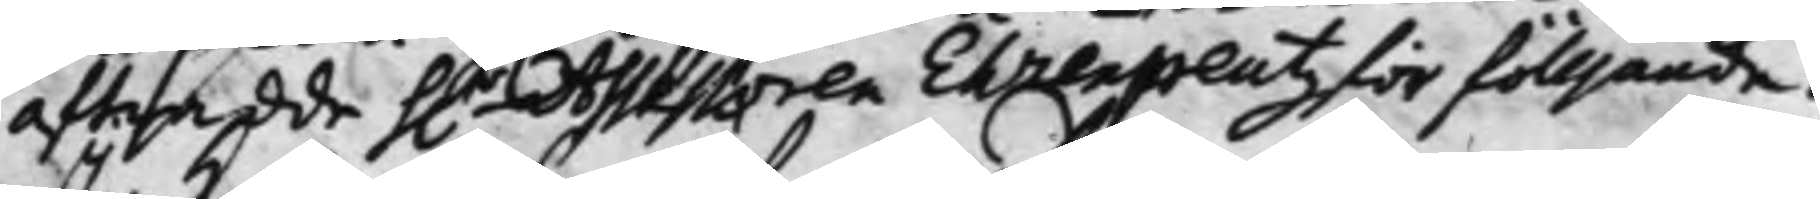aftredde h.r Assessoren Ehrenpreutz för fölljande:
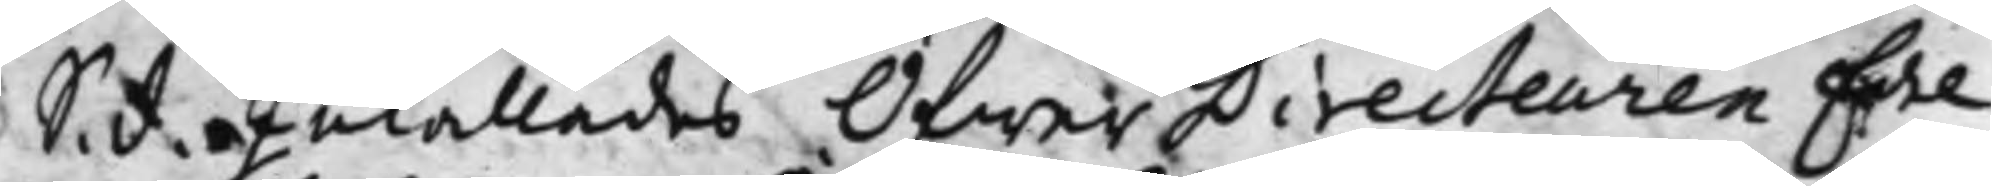S. d. Inkallades ÖfwerDirecteuren Edel
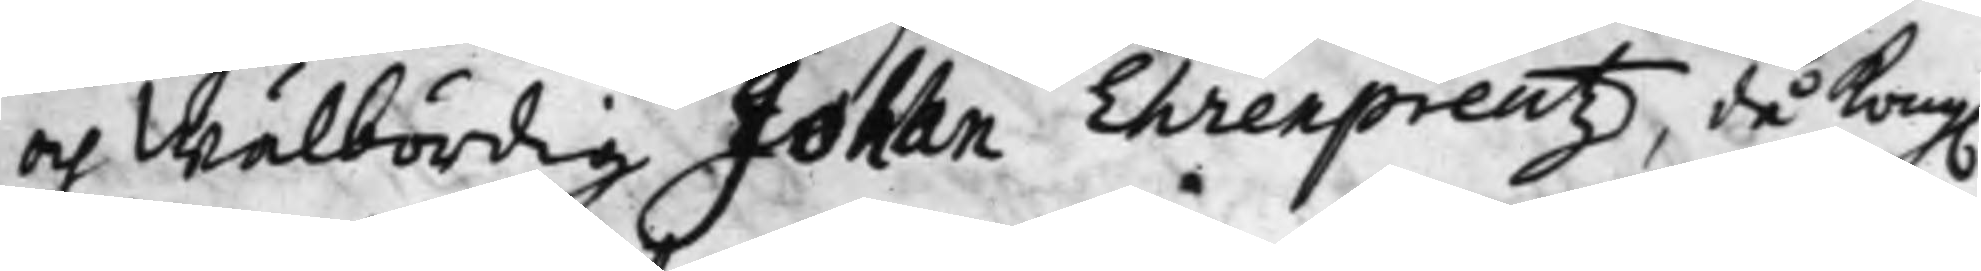och Wälbördig Johan Ehrenpreutz, då Kong.
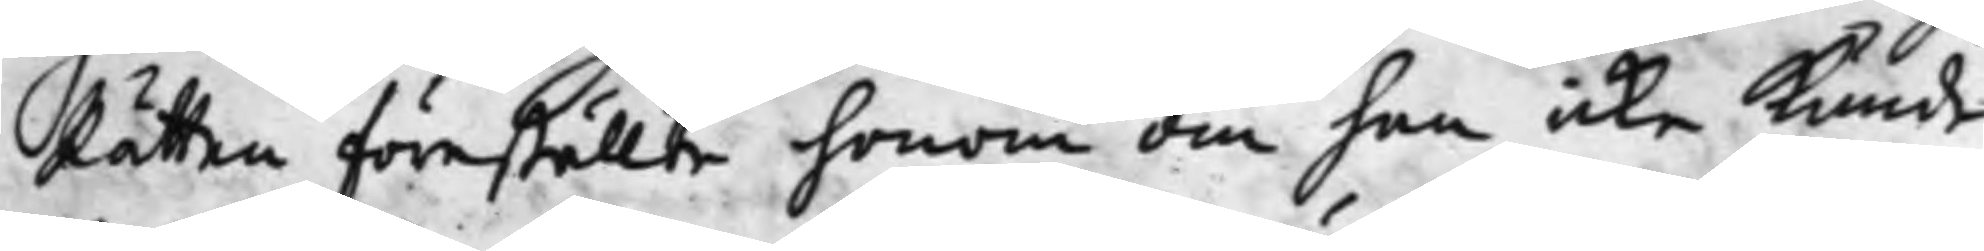Rätten föreställte honom om han icke Kunde
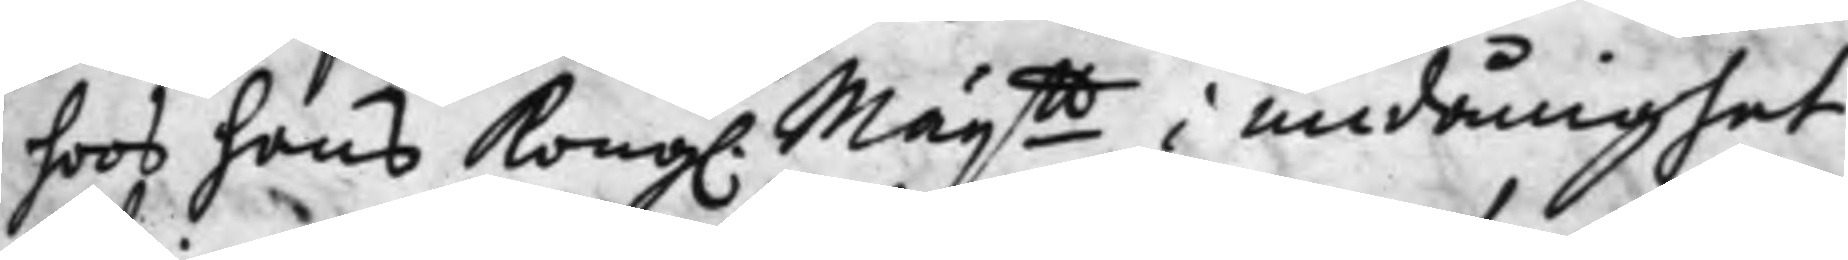hoos hans Kong. Maij.tt i undånighet
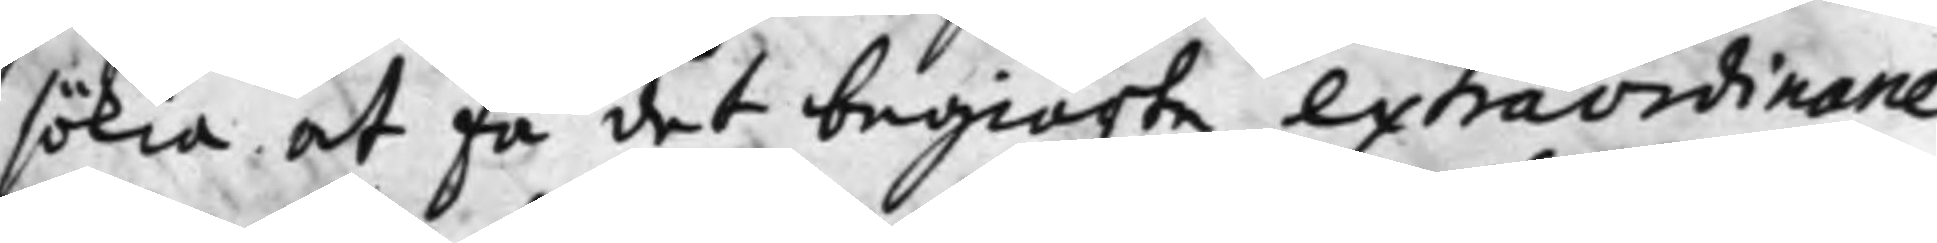sökia at få det begiärte extraordinarie
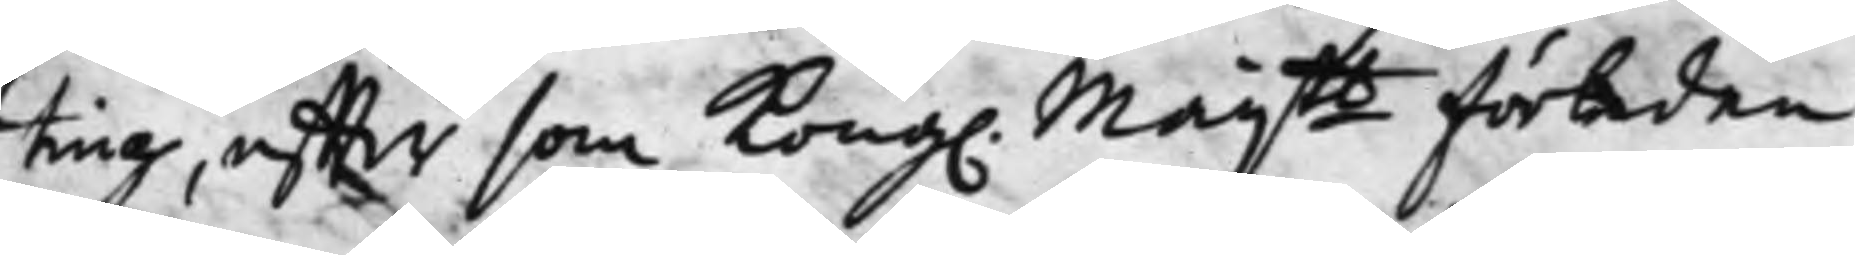ting, effter som Kong. Maij.tt förleden
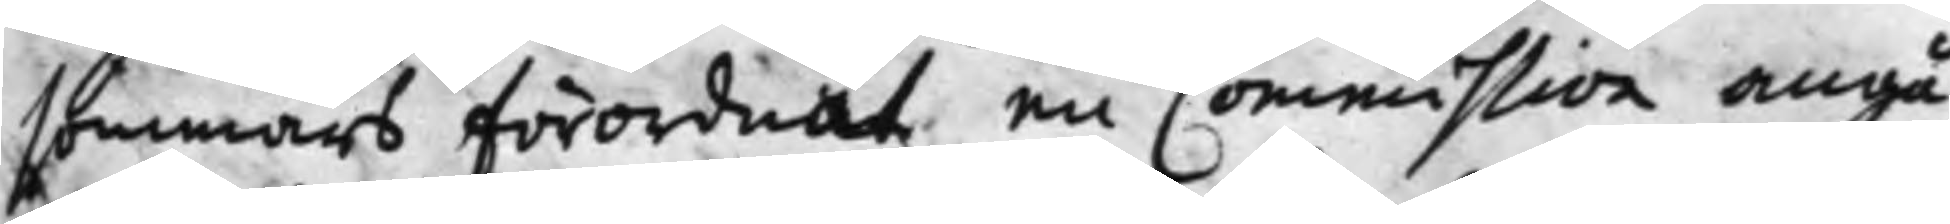sommars förordnat en Commission angå¬
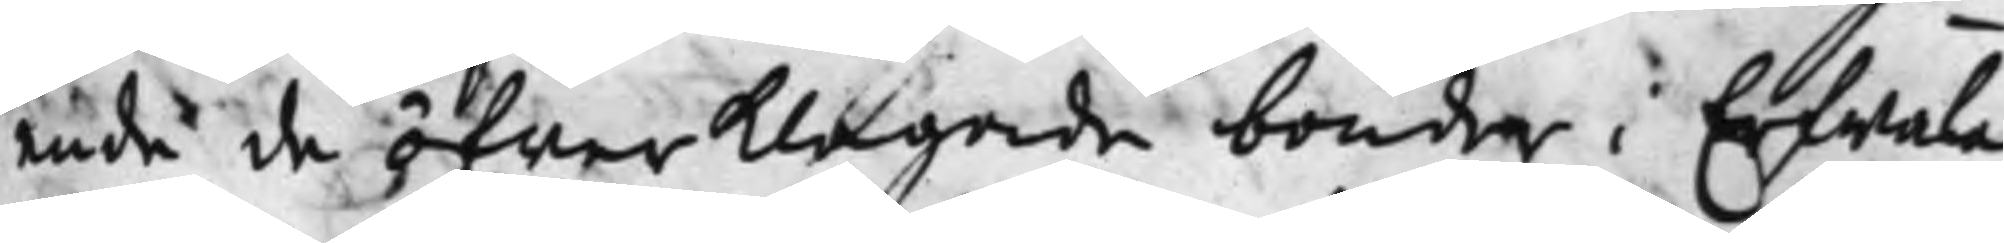ende de öfwerklagade bonder i Erfwala
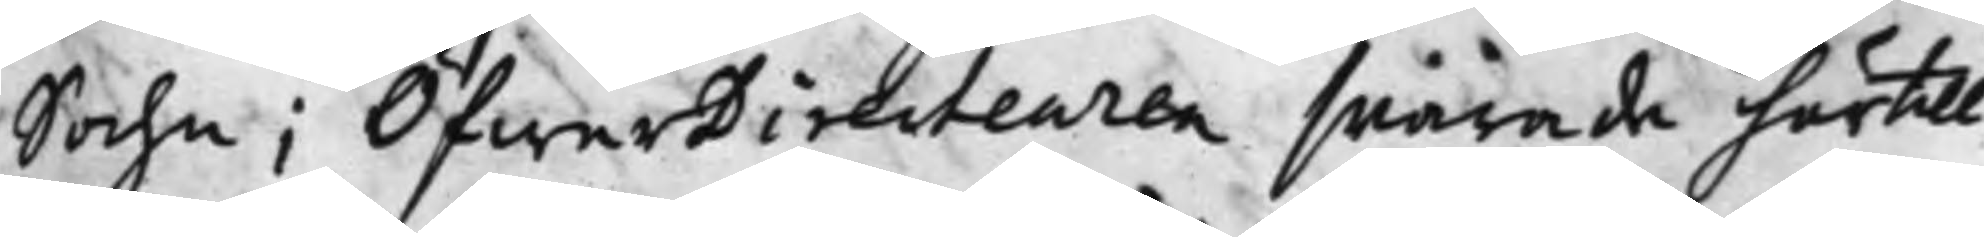Sochn; ÖfwerDirecteuren swarade härtill
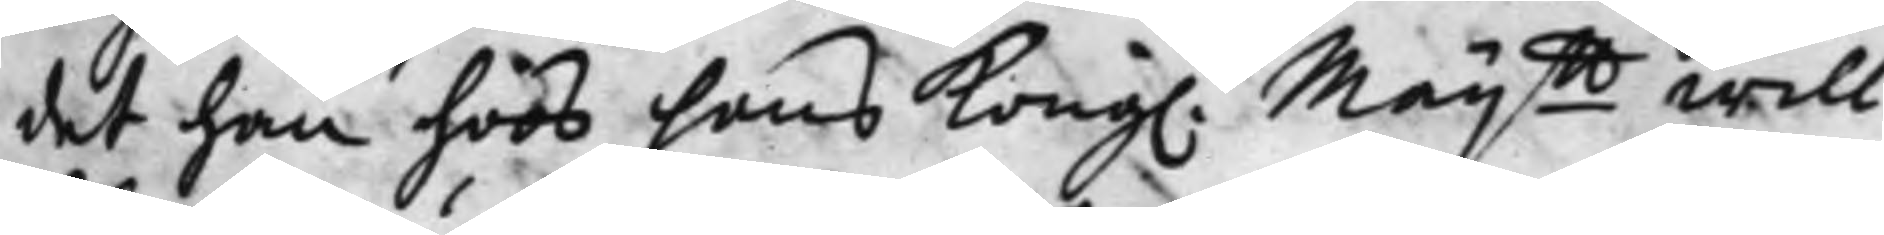det han hoos hans Kong. Maij.tt will
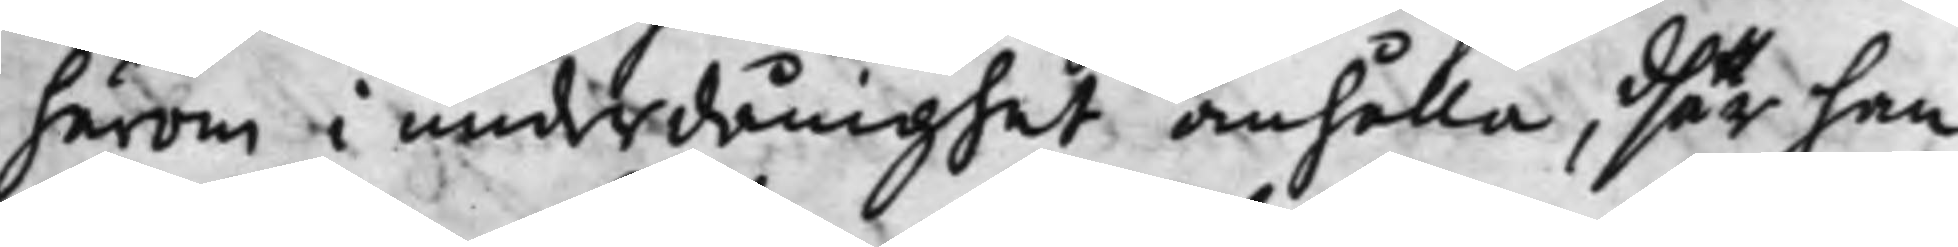härom i underdånighet anhålla, dhär han
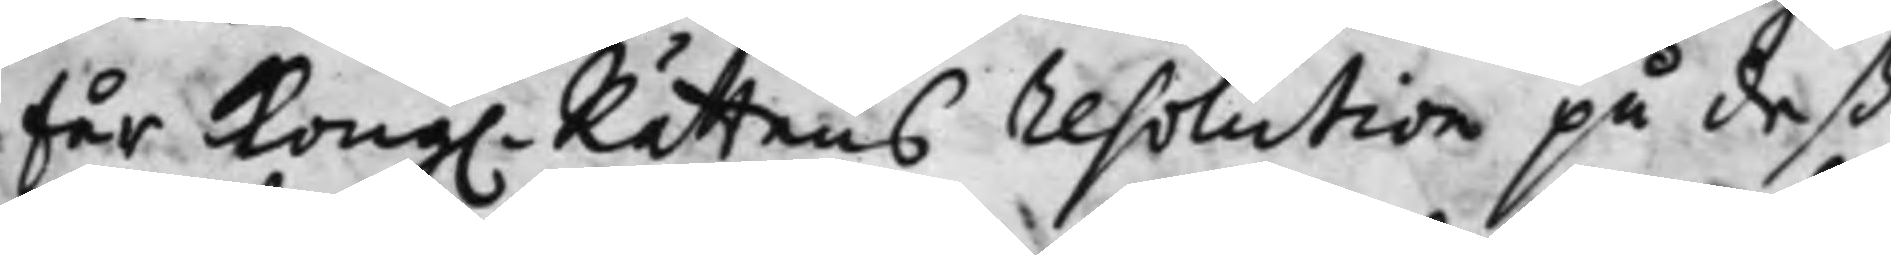Får Kong. Rättens resolution på deß
